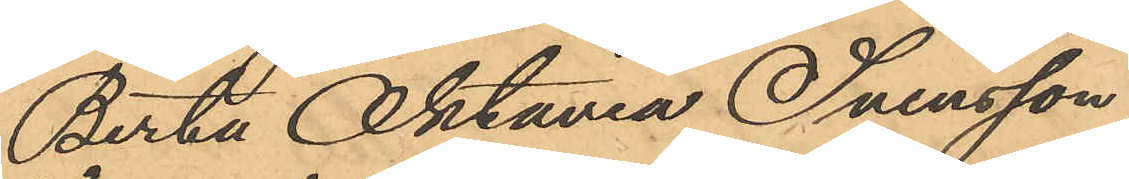Berta Oktaviia Svensson
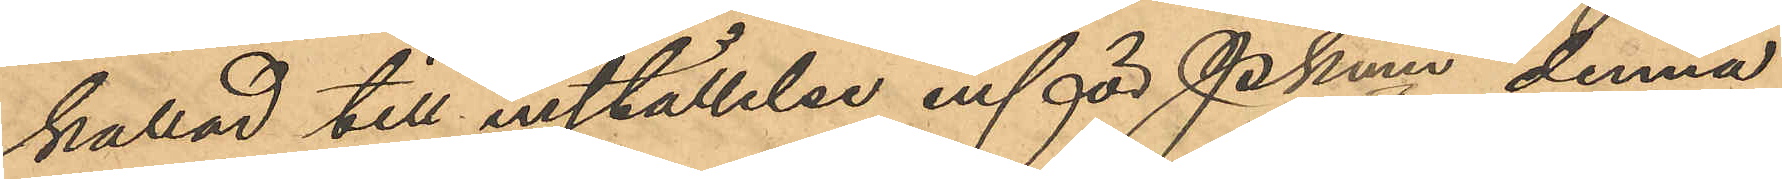kallad till inställelse inför PKmn denna
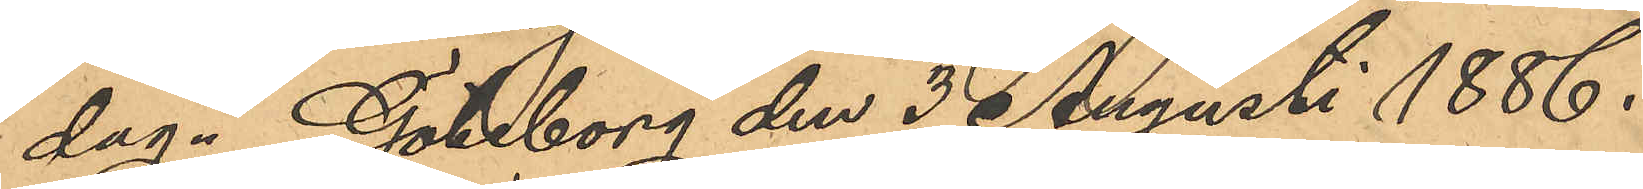dag. Göteborg den 3 Augusti 1886.
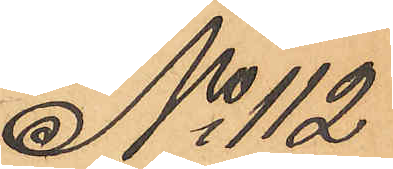No 112
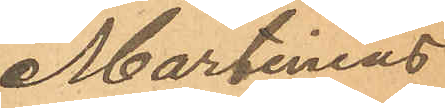Martinius
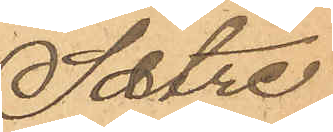Sætre
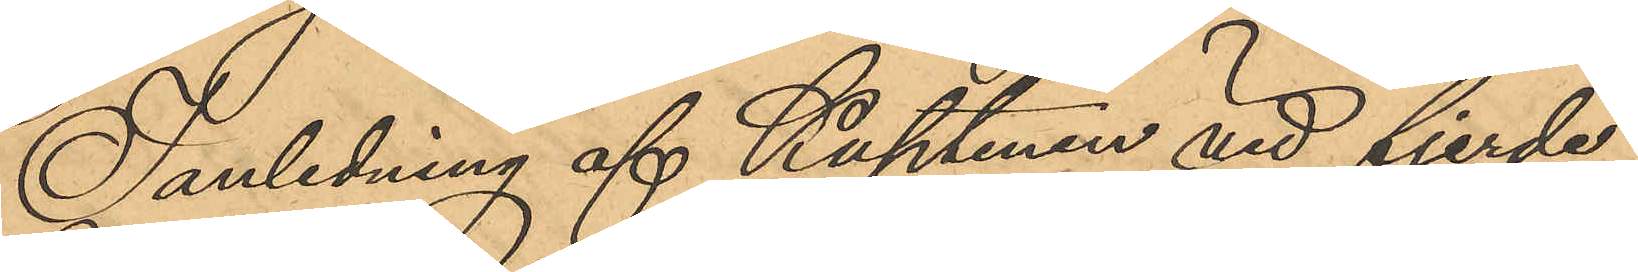I anledning af Kaptenen vid fjerde
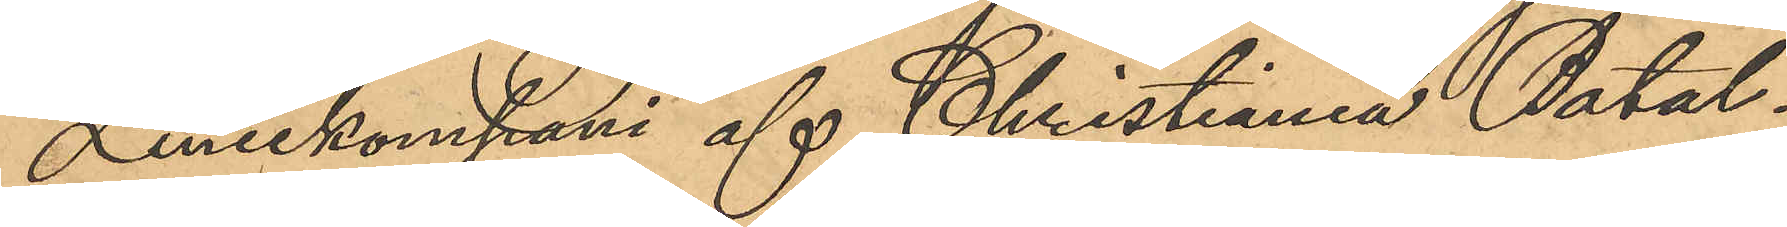Liniekompani af Christiania Batal¬
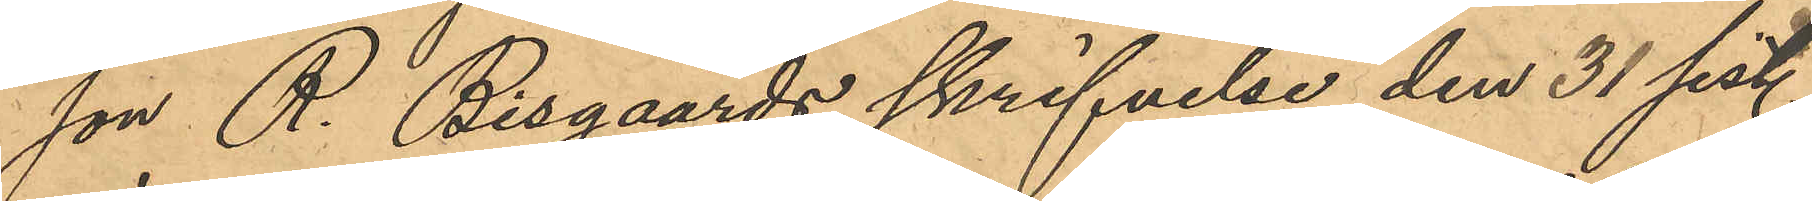jon R. Bisgaards skrifvelse den 31 sist.
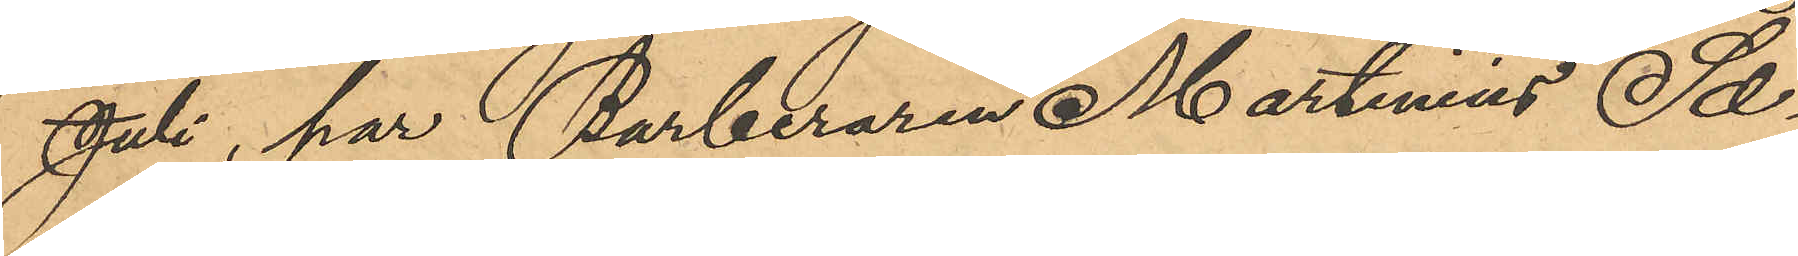Juli, har Barberaren Martinius Sæ¬
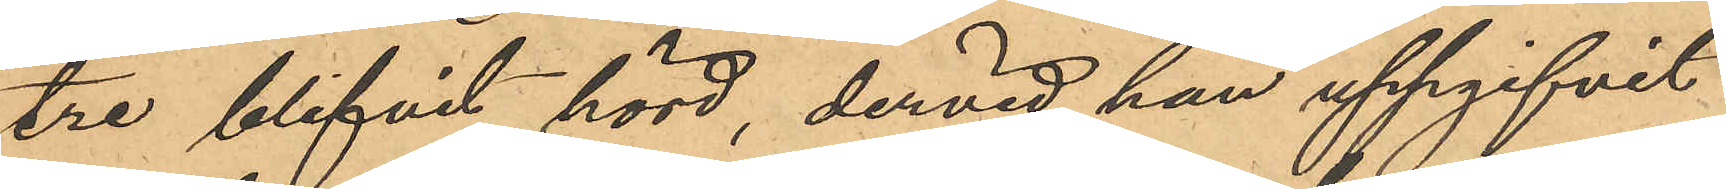tre blifvit hörd, dervid han uppgifvit
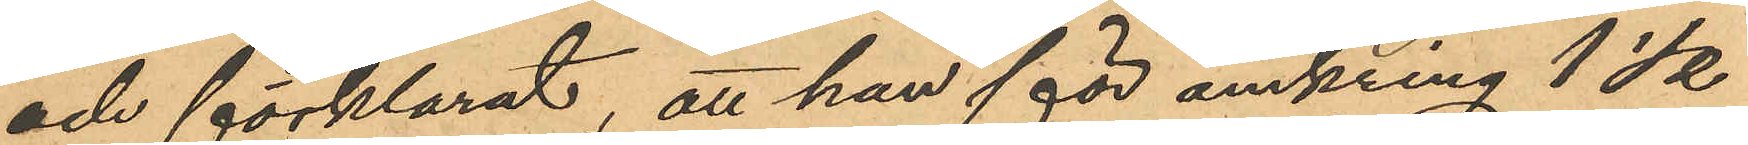och förklarat, att han för omkring 1 ½
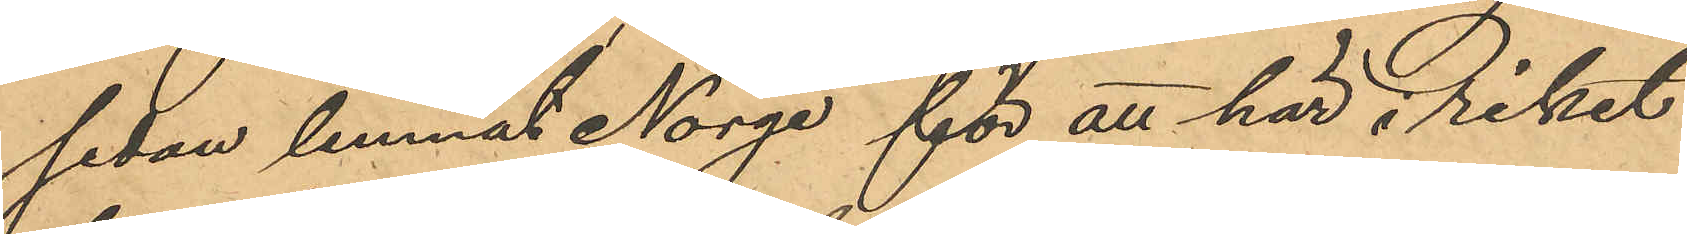sedan lemnat Norge för att här i riket
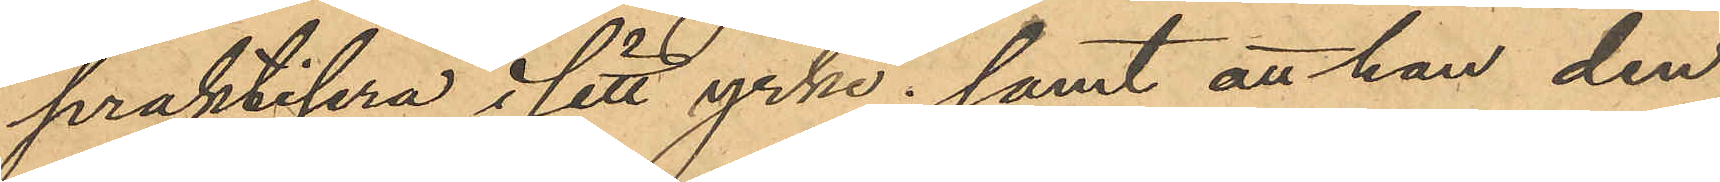praktisera i sitt yrke; samt att han den
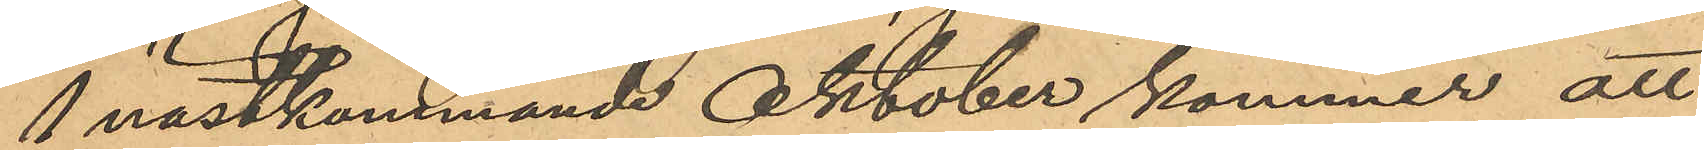1 nästkommande Oktober kommer att
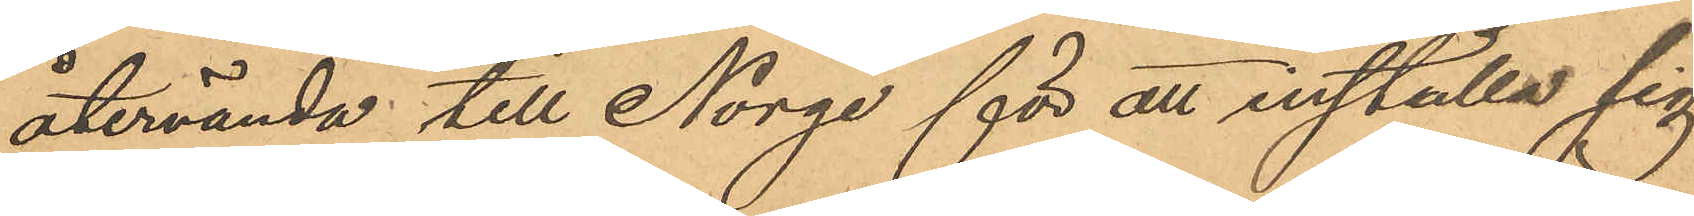återvända till Norge för att inställa sig
